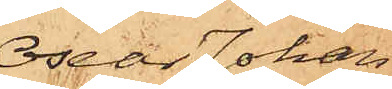Oscar Johan
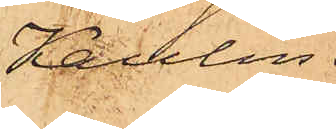Kaulin.
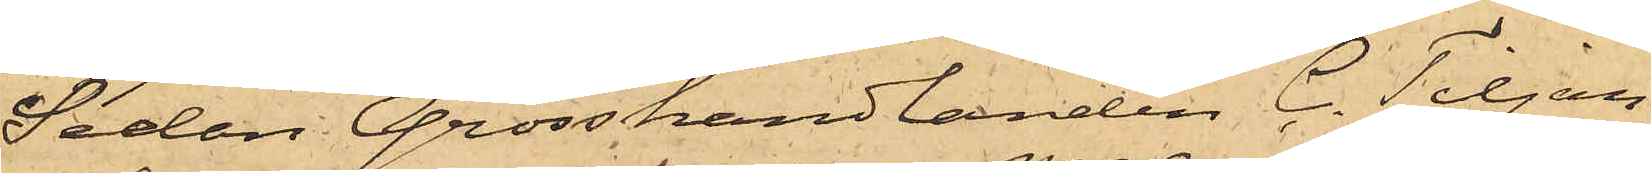Sedan Grosshandlanden C. Tiljan¬
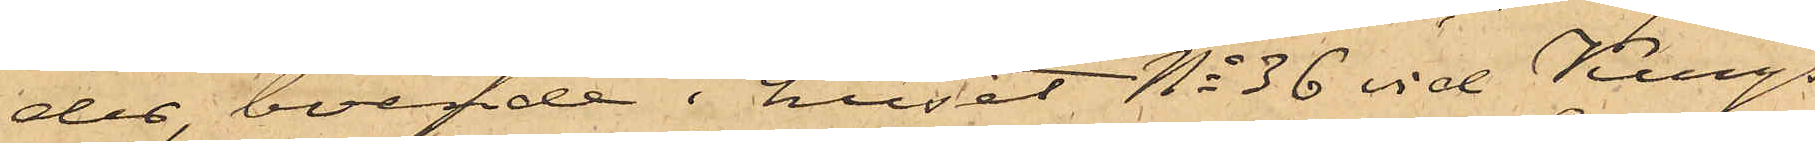der, boende i huset No 36 vid Kungs¬
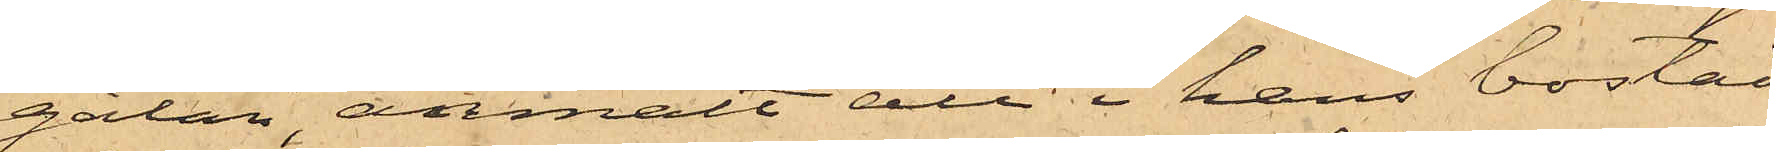gatan, anmält att i hans bostad
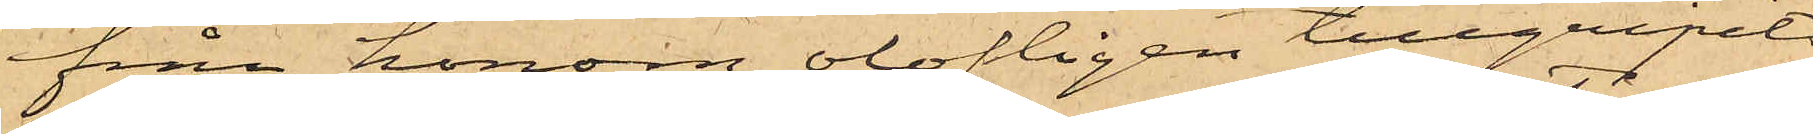från honom olofligen tillgripits
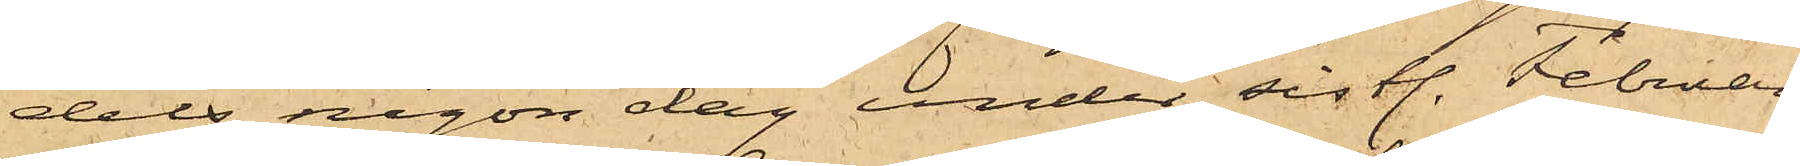dels någon dag under sistl. Februari
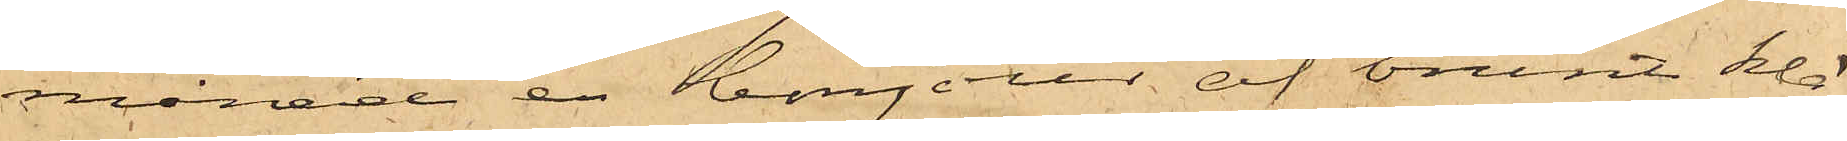månad en bonjour af brunt klä¬
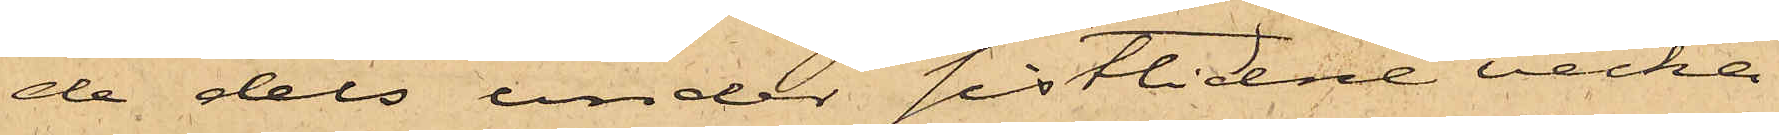de dels under sistlidne vecka
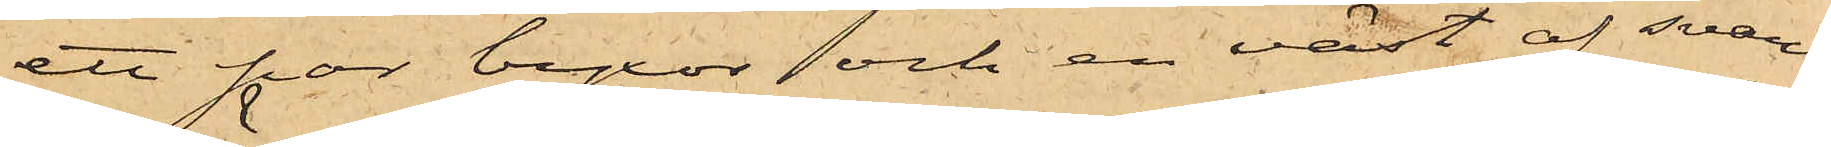ett par byxor och en väst af svart
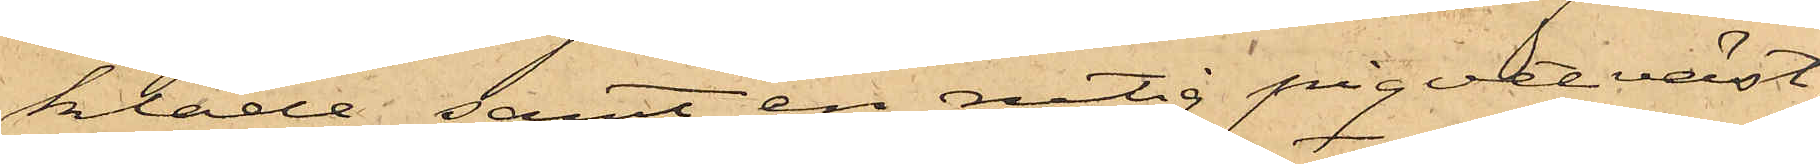kläde samt en rutig piqvetväst,
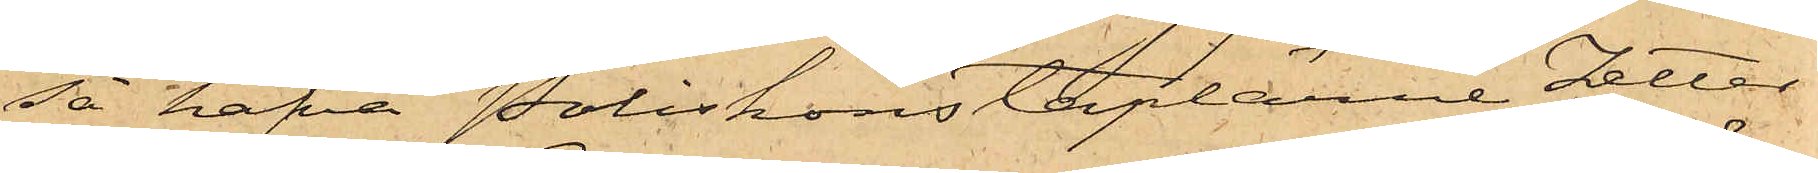så hafva Poliskonstaplarne Zetter¬
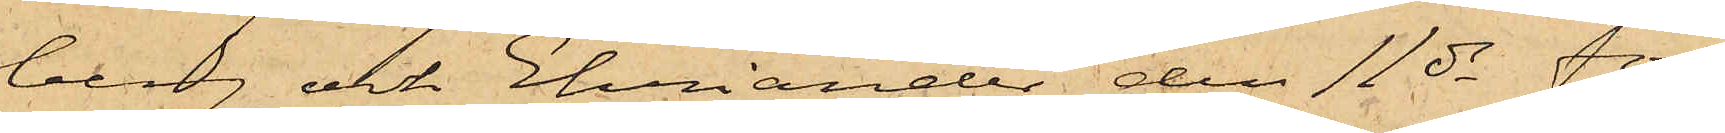berg och Ehriander den 11 ds för
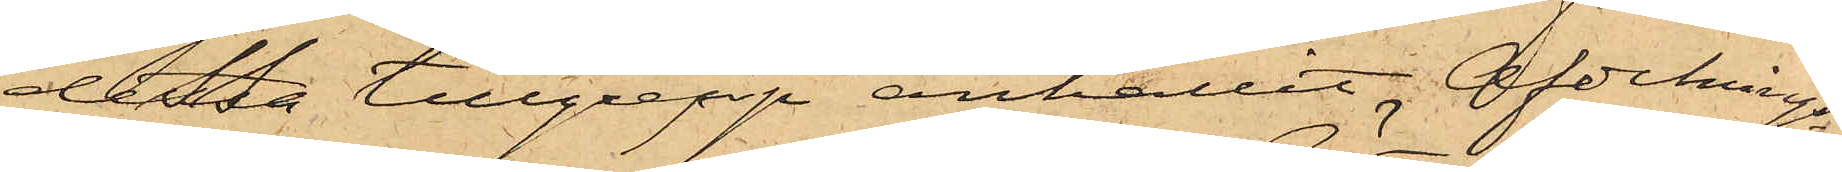dessa tillgrepp anhållit Afdelnings¬
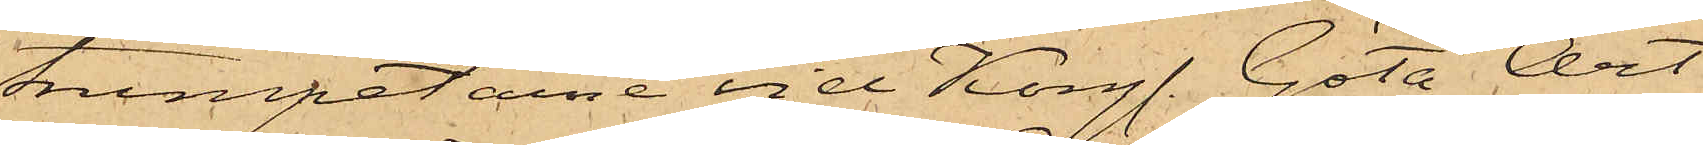trumpetarne vid Kongl. Göta Art
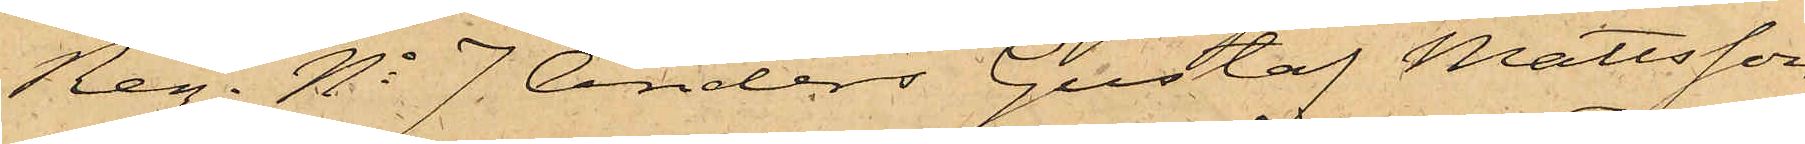Reg. No 7. Anders Gustaf Mattsson,
